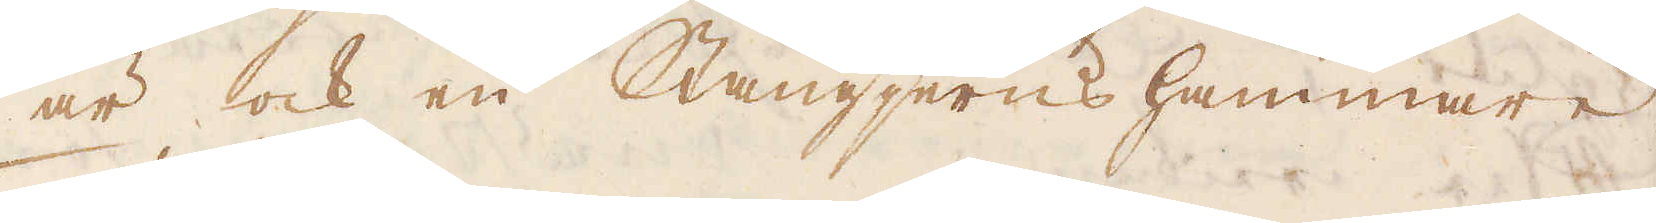är ock en Stångjerns hammare.
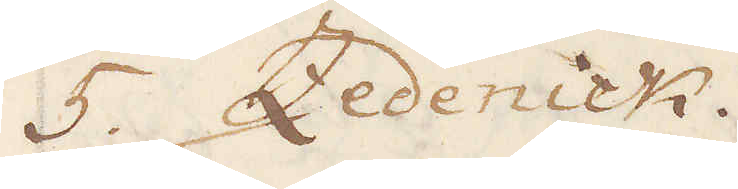5 Zedenick.
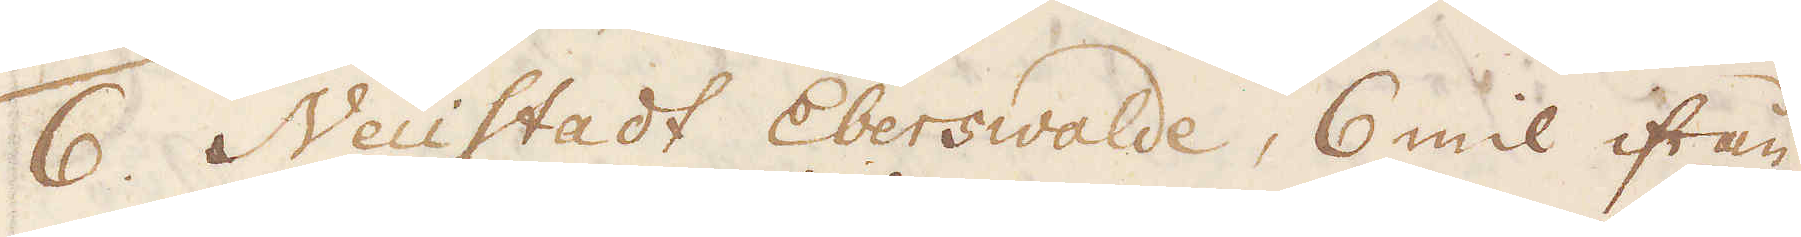1. Neüstadt Eberswalde, 6 mil ifrån
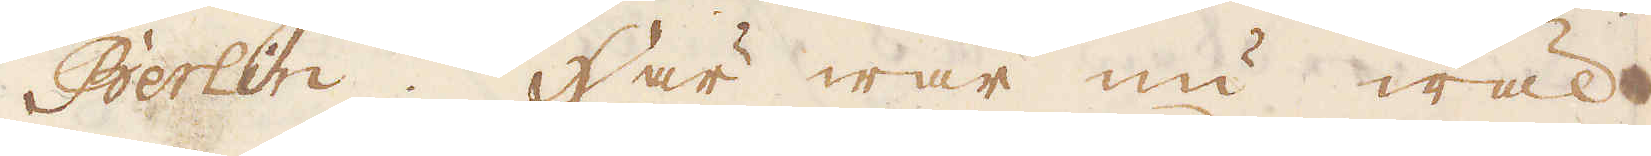Berlin. Här war nu wäl
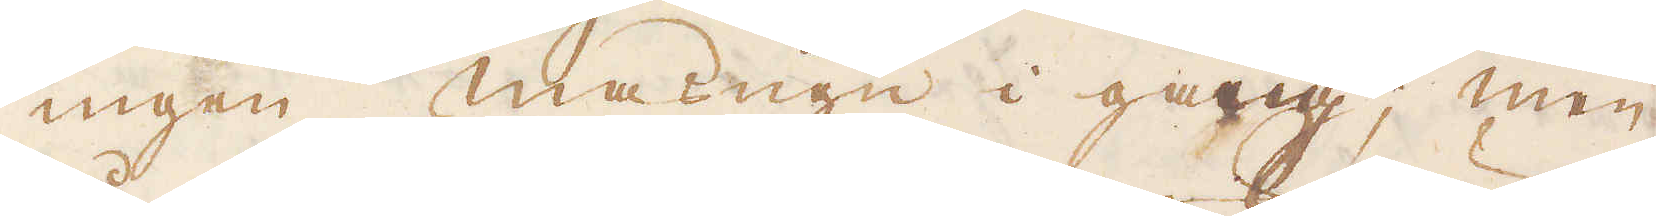ingen masugn i gång; men
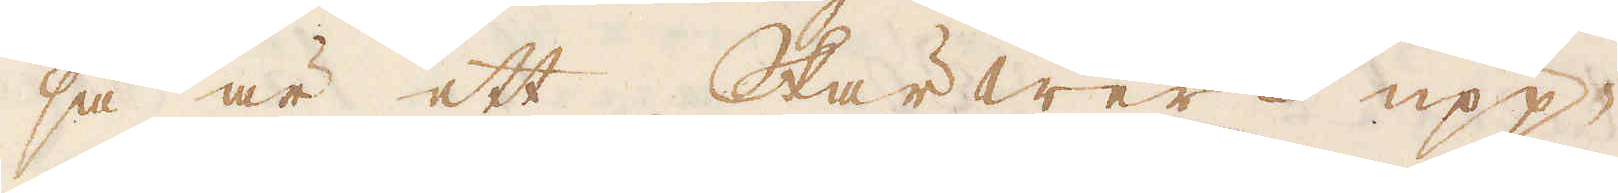så är ett Skärwerk upp-
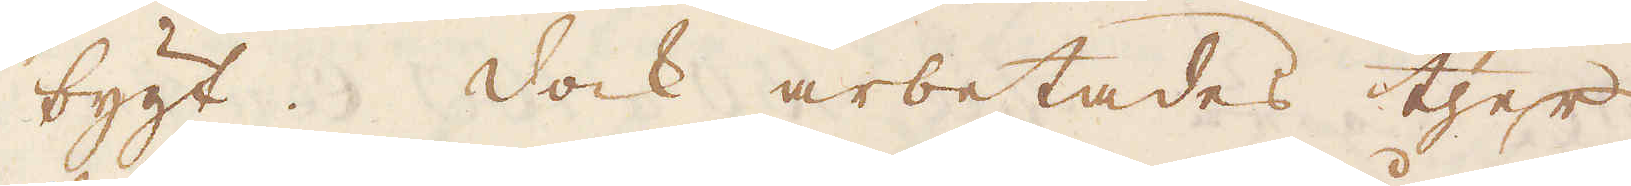bygt. Dock arbetades ther
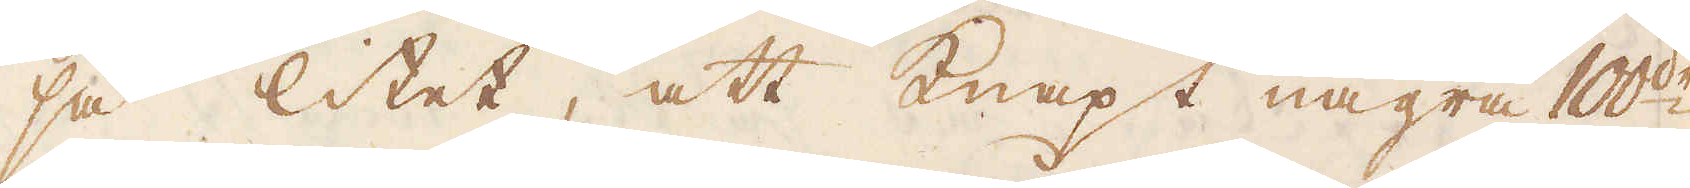så litet, att knapt några 100de
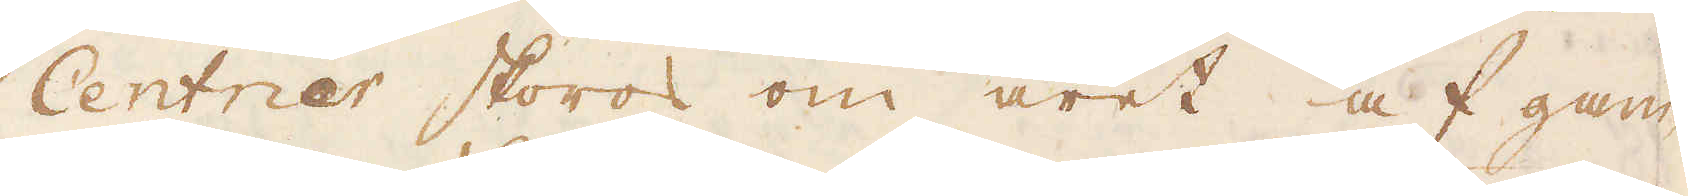Centner skoros om året af gam-
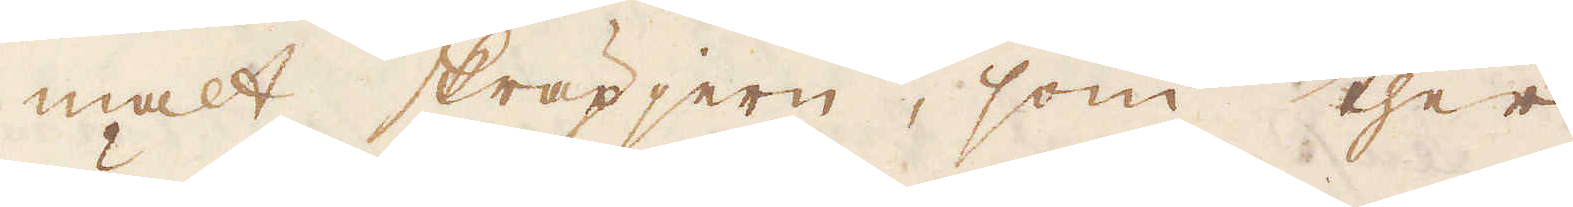malt skräpjern, som ther
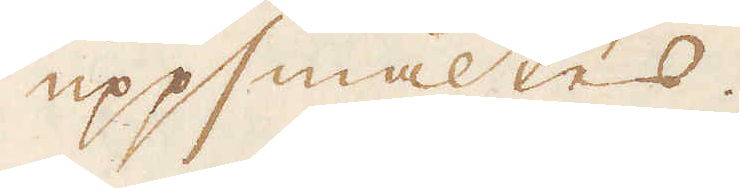uppsmältes.
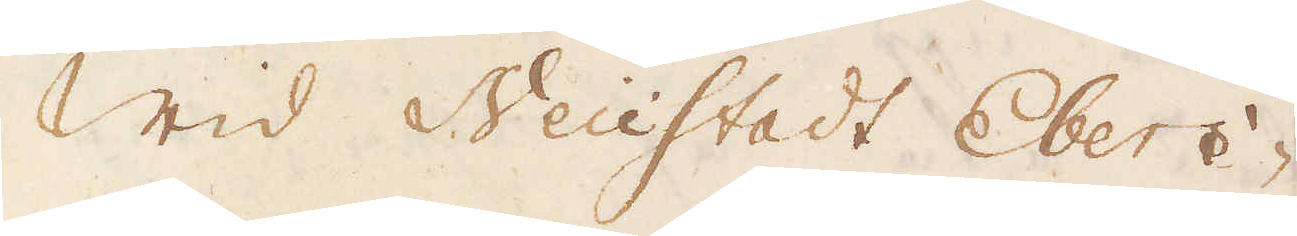Wid Neüstadt Ebers-
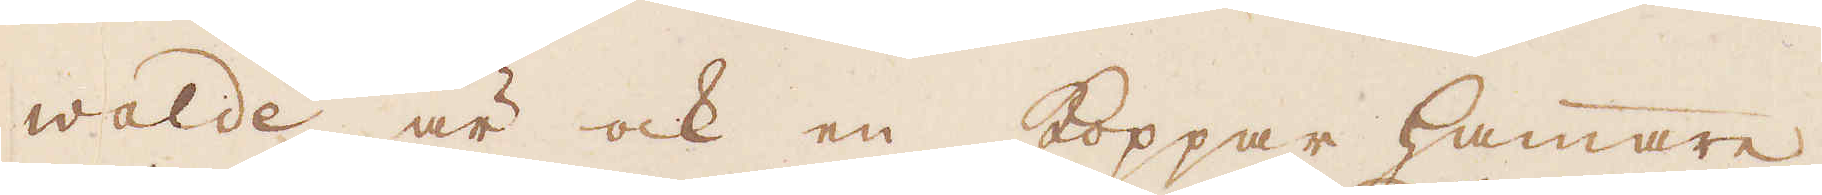walde är ock en Koppar hammare,
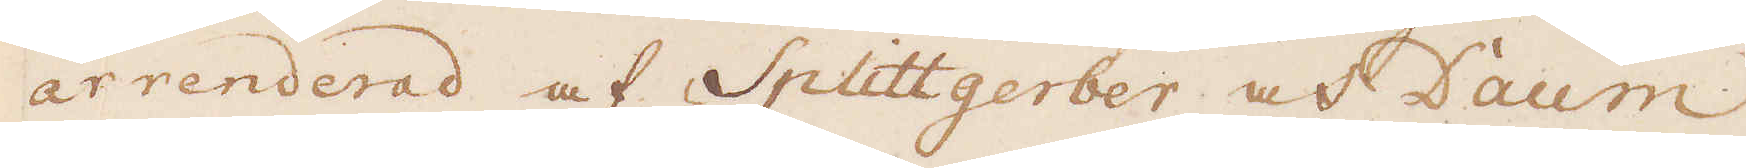arrenderad af Splittgerber och Daum
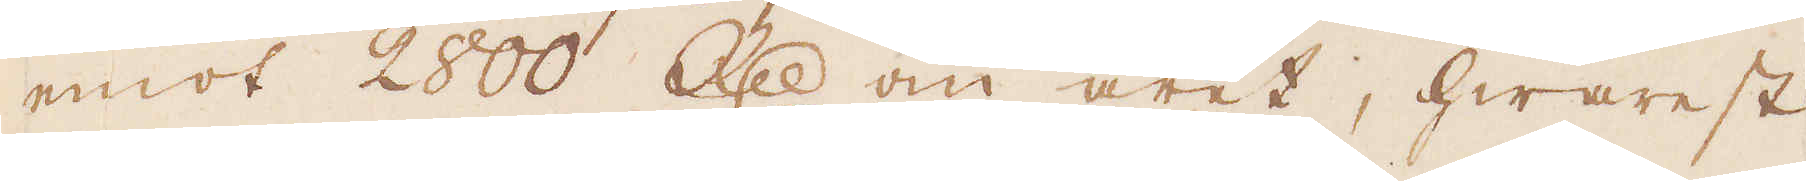emot 2800 R:dr om året, hwarest
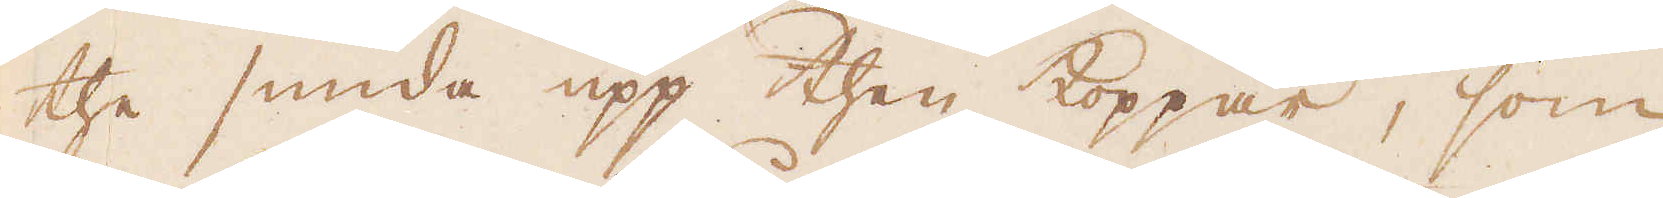the smida upp then koppar, som
